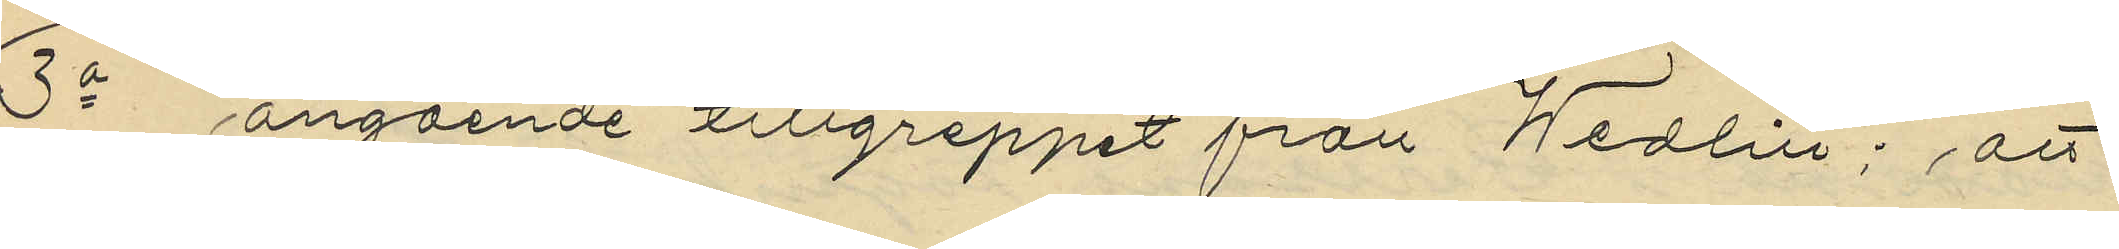3o angående tillgreppet från Wedin; att
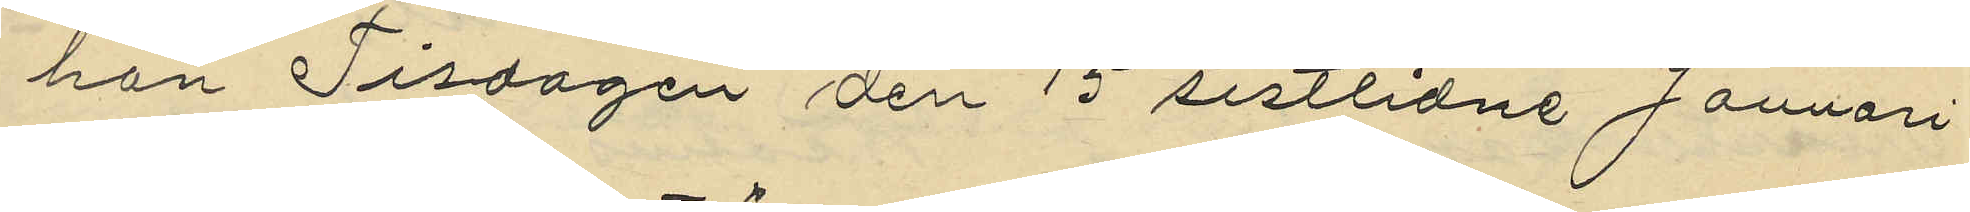hon Tisdagen den 15 sistlidne Januari
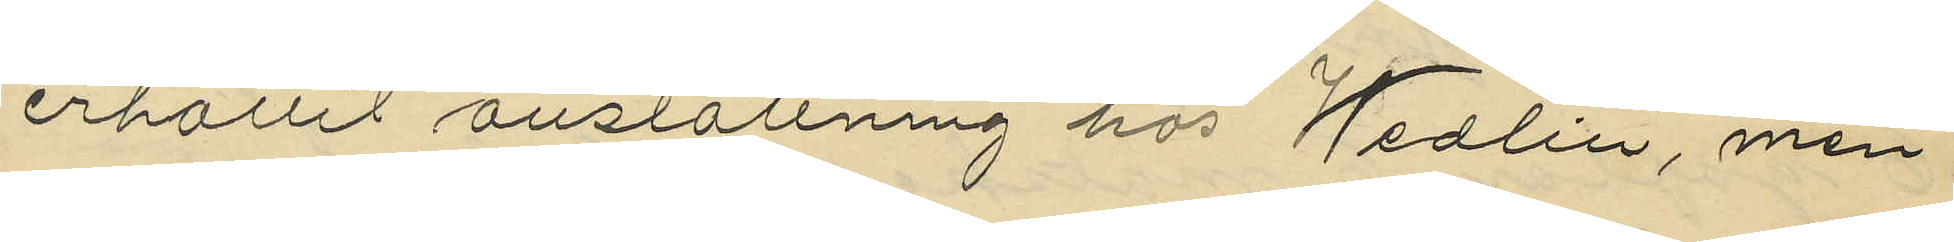erhållit anställning hos Wedin, men
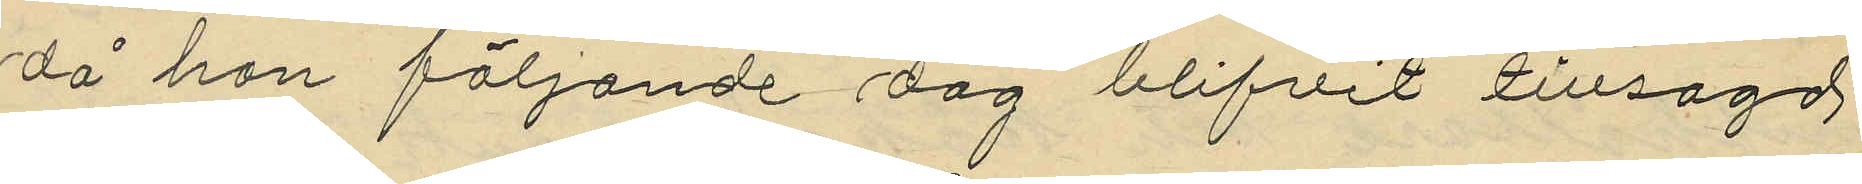då hon följande dag blifvit tillsagd
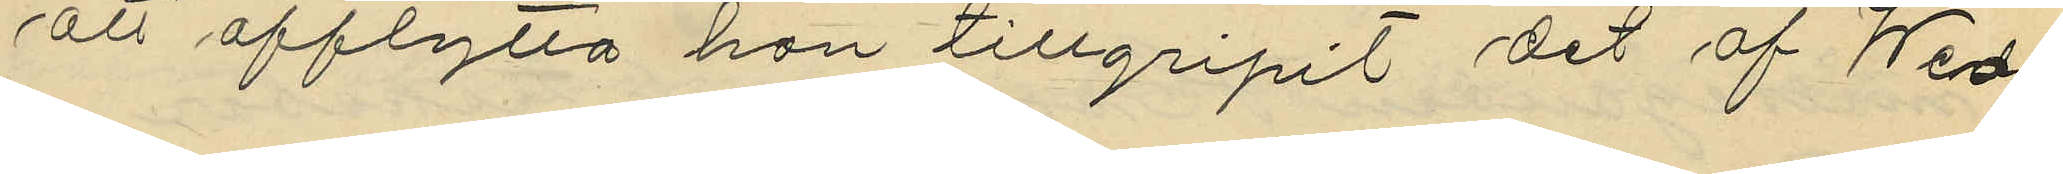att afflytta hon tillgripit det af Wed¬
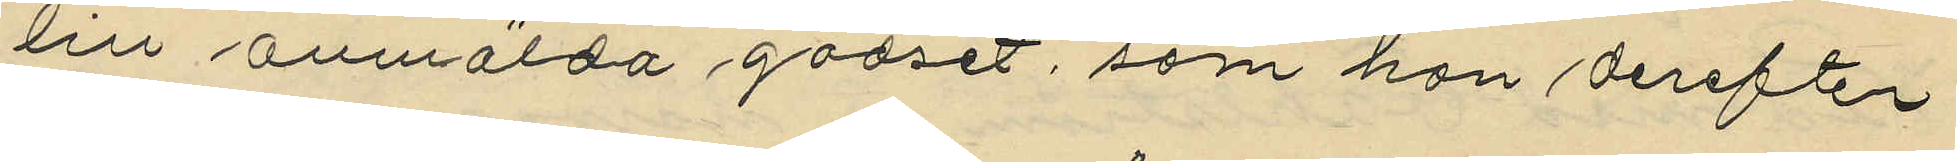in anmälda godset, som hon derefter
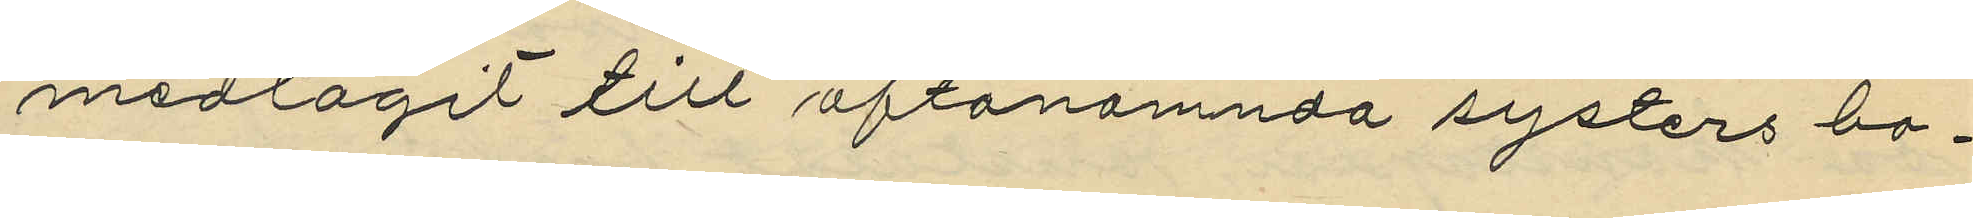medtagit till oftanämnda systers bo¬
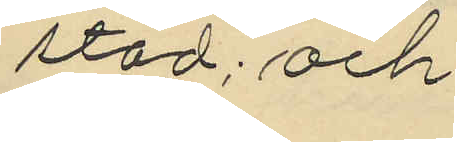stad; och
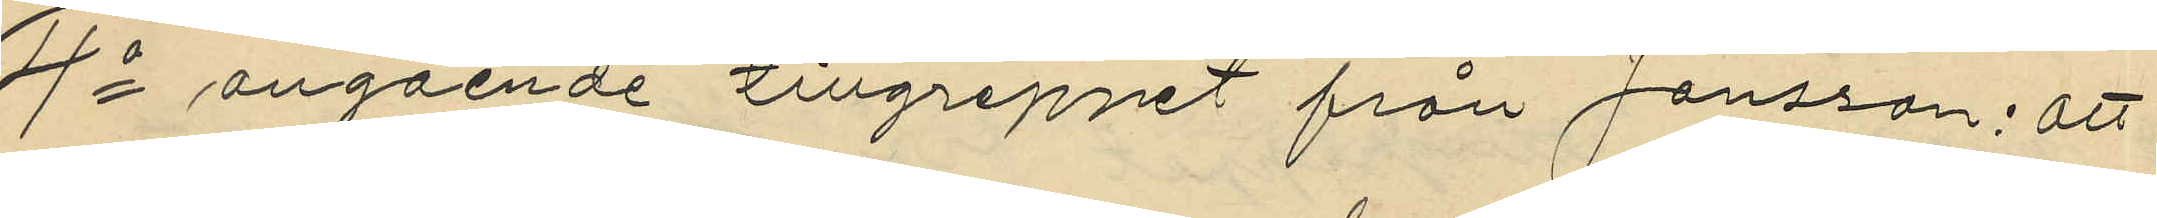4o angående tillgreppet från Jönsson: att
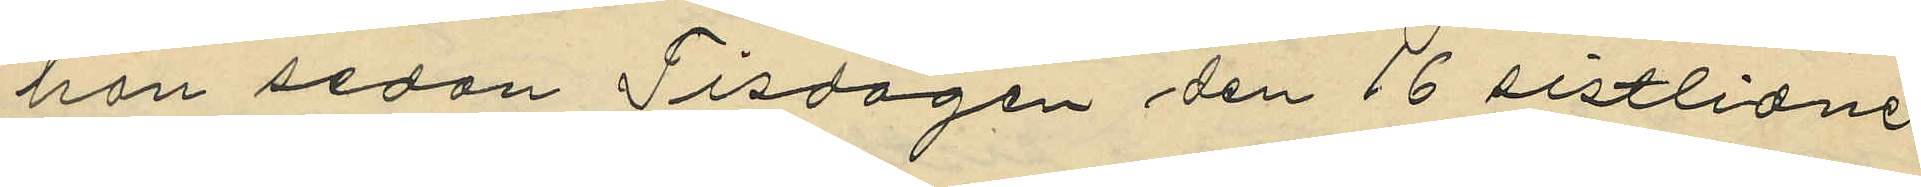hon sedan Tisdagen den 16 sistlidne
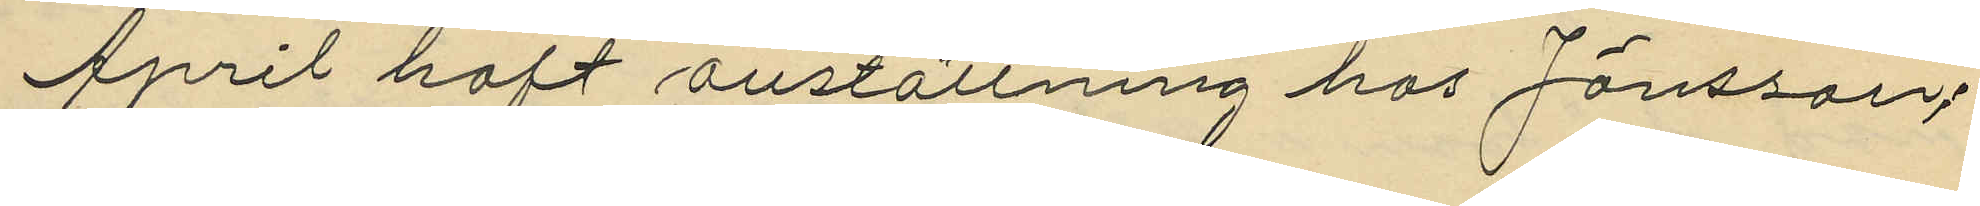April haft anställning hos Jönsson;
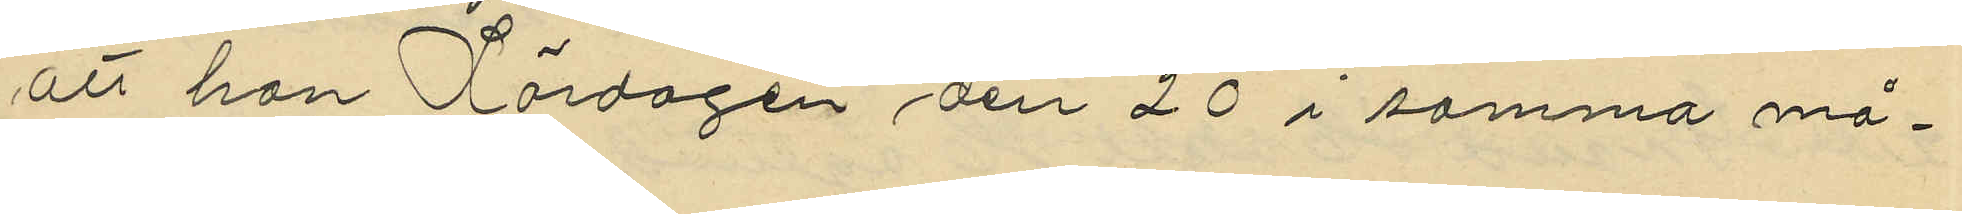att hon Lördagen den 20 i samma må¬
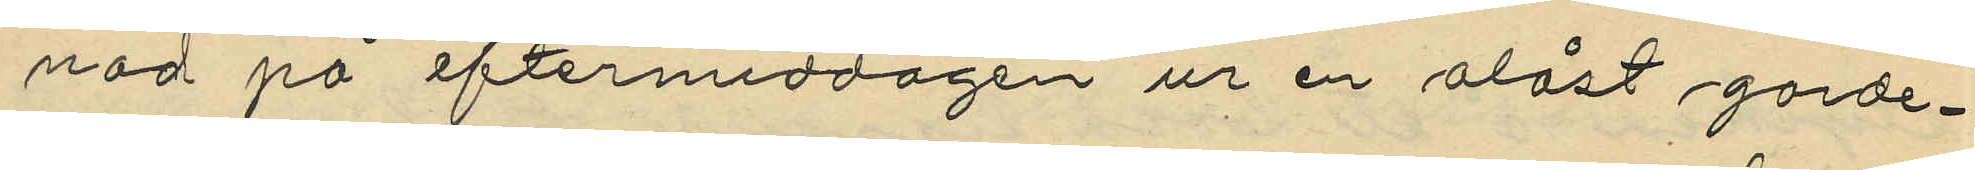nad på eftermiddagen ur en olåst garde¬
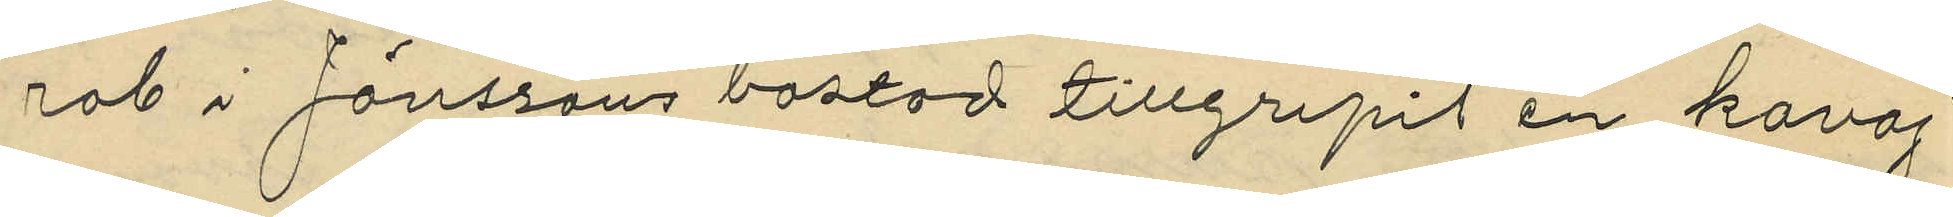rob i Jönssons bostad tillgripit en kavaj
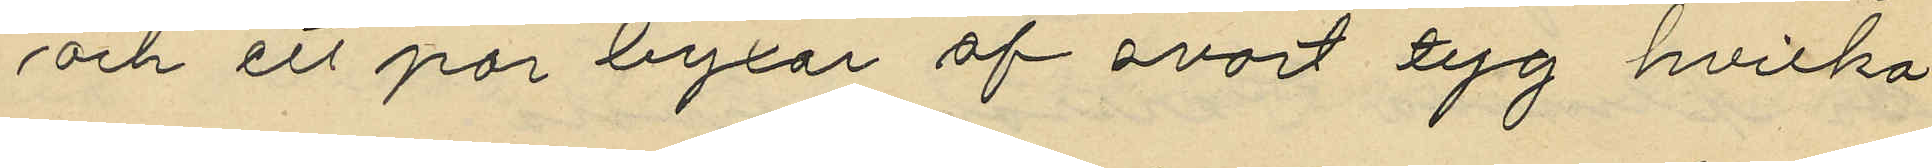och ett par byxor af svart tyg hvilka
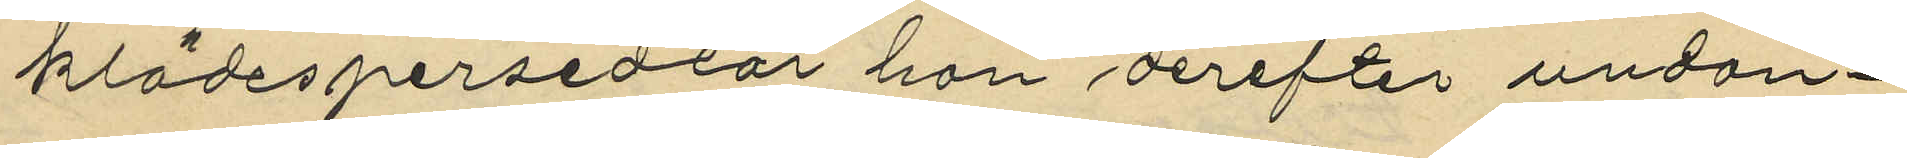klädespersedlar hon derefter undan¬
